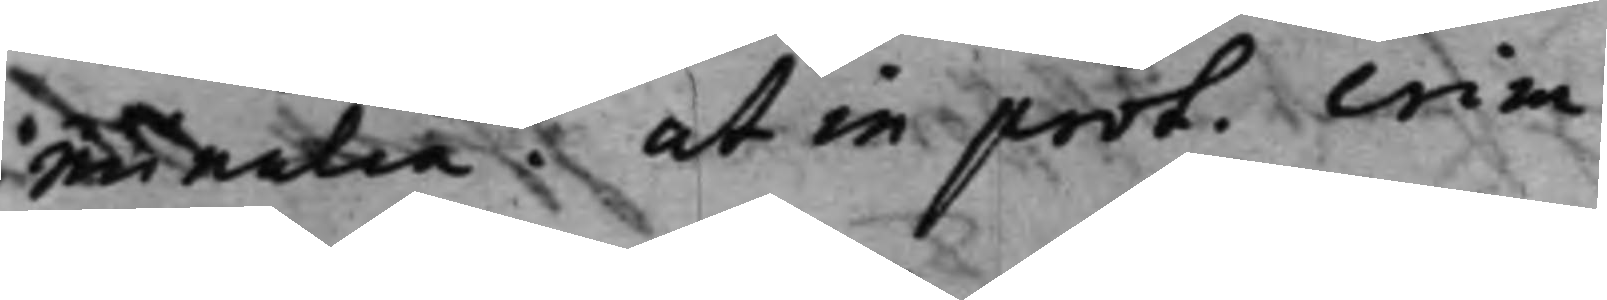minalia. ut in prot. crim.
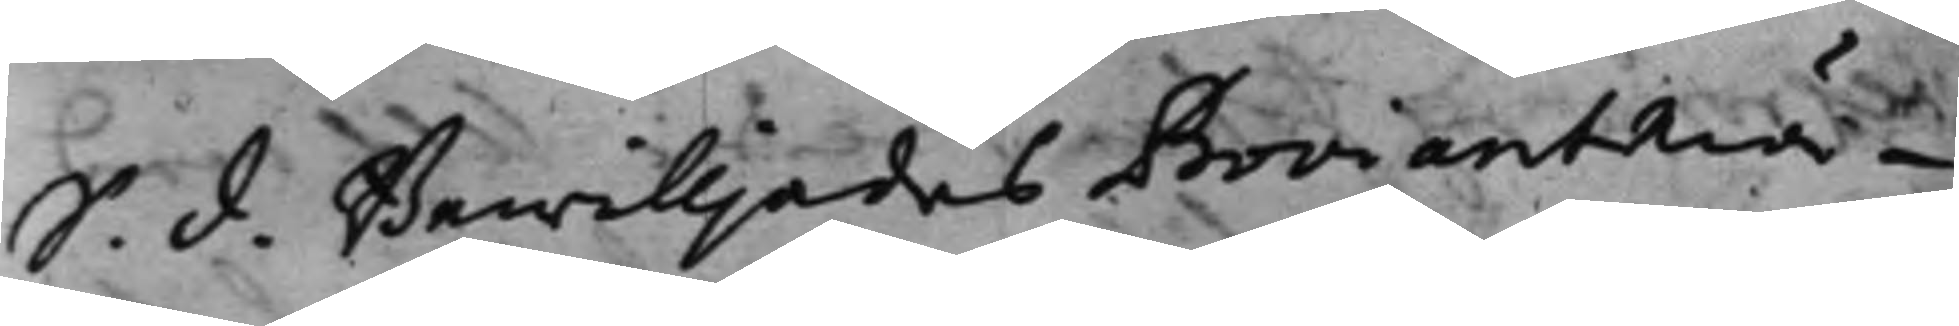S. d. Bewilljades ProviantMä¬
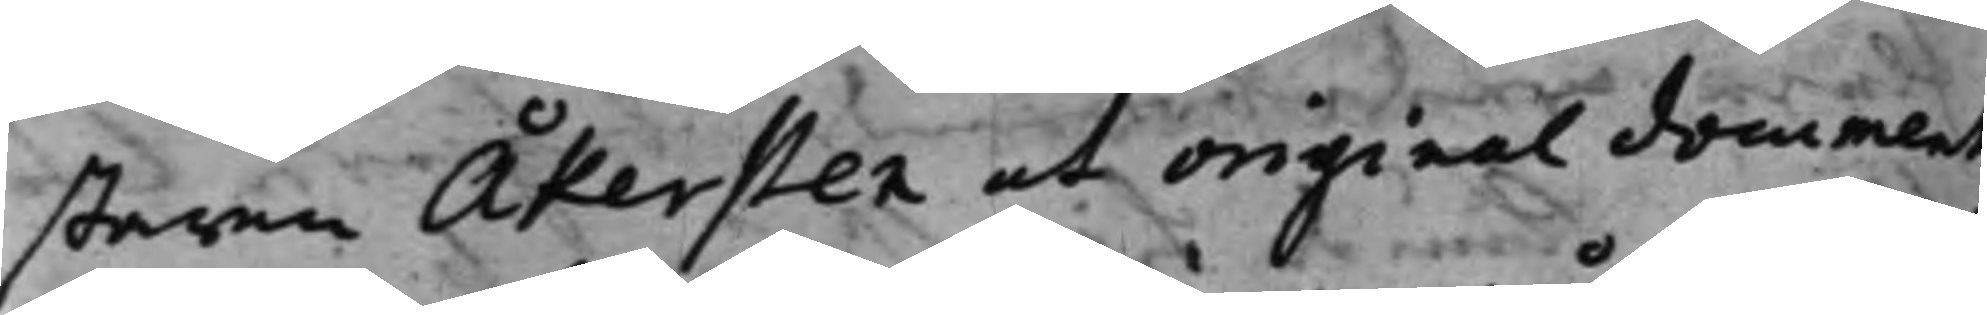staren Åkersten et original document
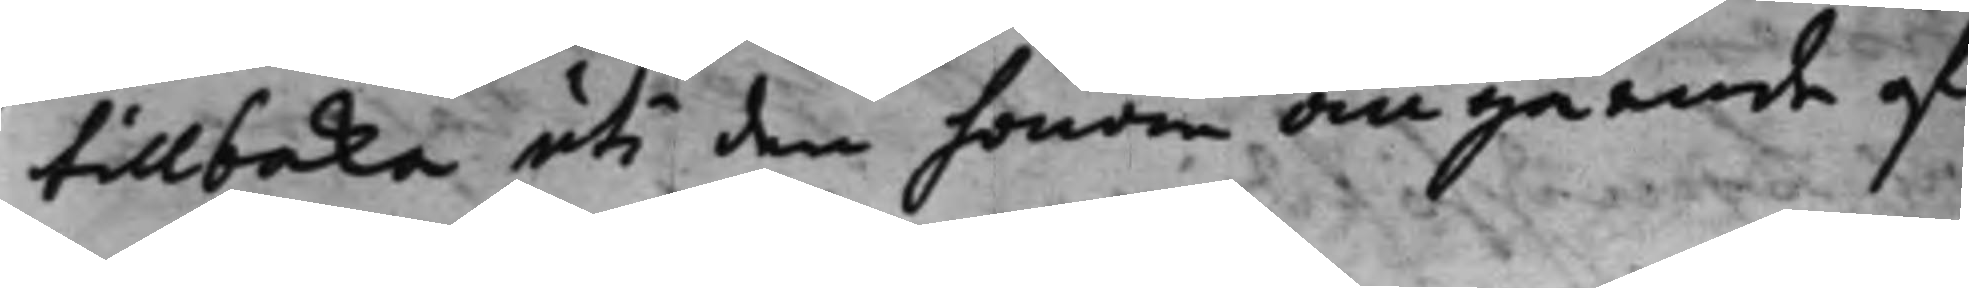tillbaka uti den honom angående af¬
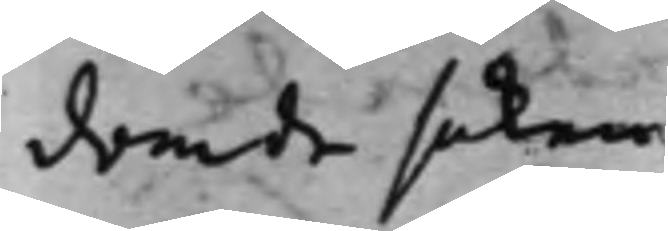domde saken.
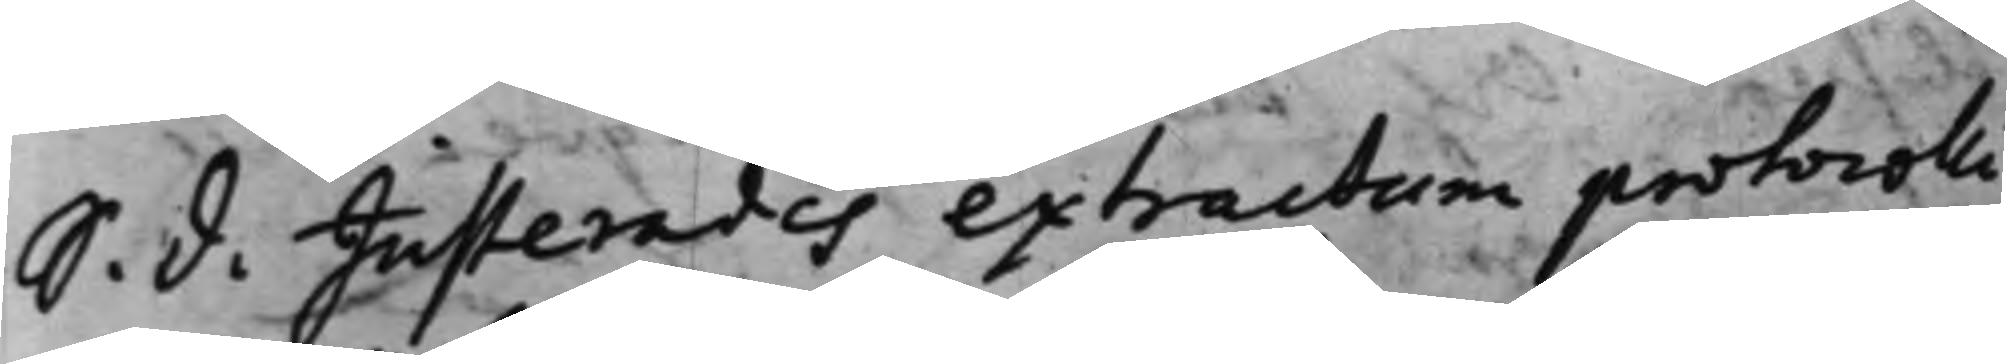S. d. Justerades extractum protocolli
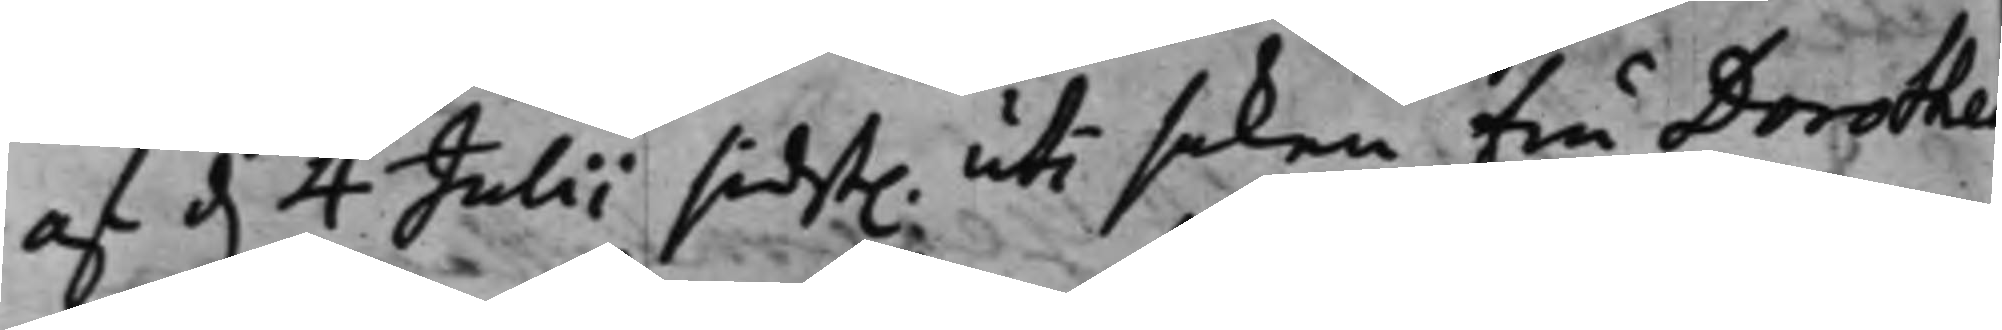af d. 4 Julii sidst. uti saken Fru Dorothe
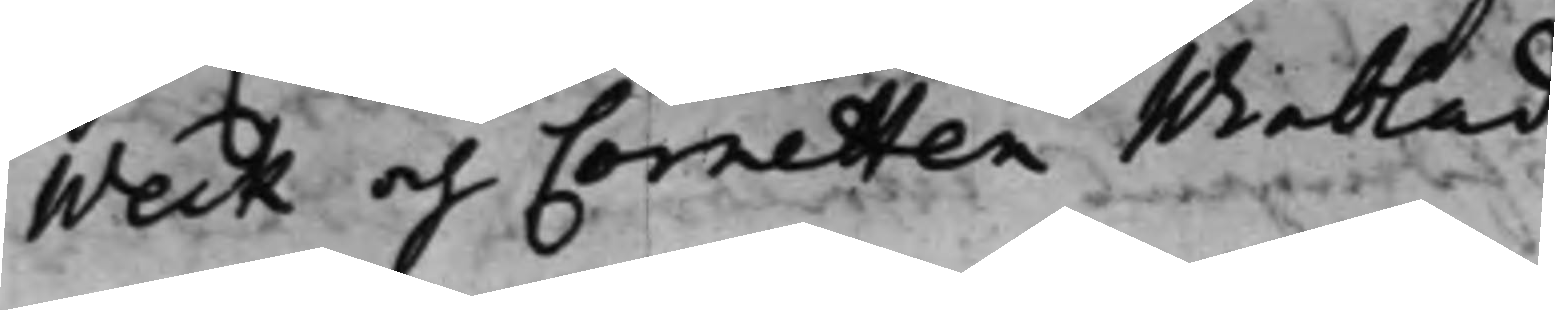Weck och Cornetten Winblad.
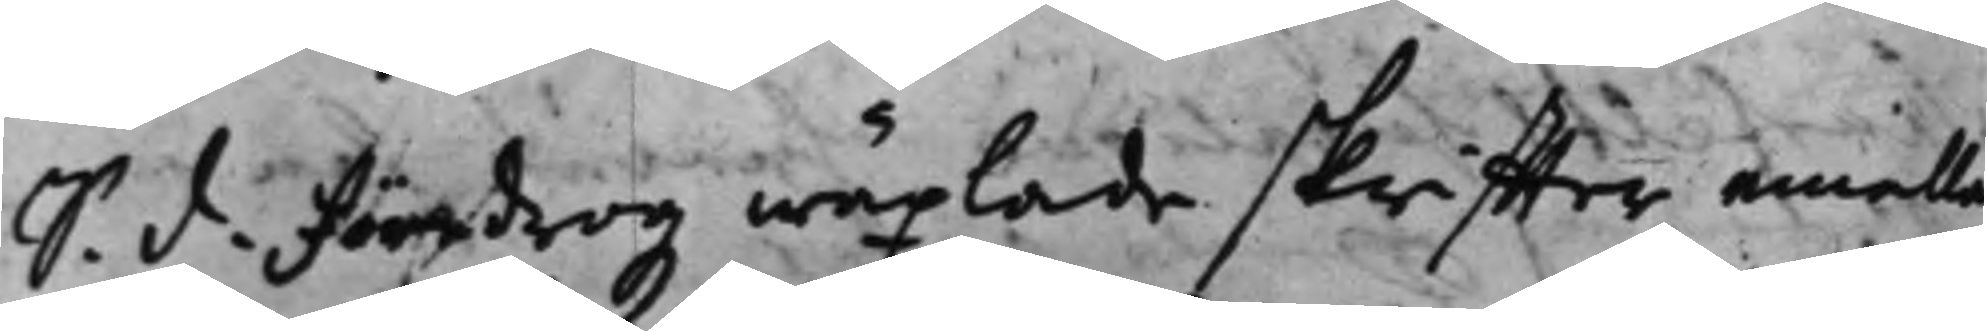S. d. Föredrogz wäxlade skriffter emella
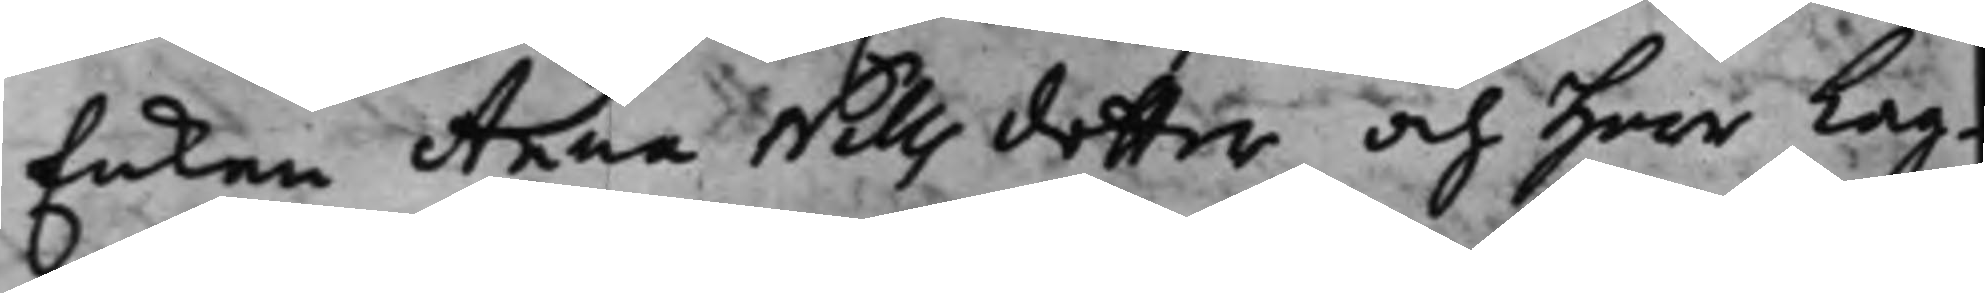Enkan Anna Nills dotter och Herr Lag¬
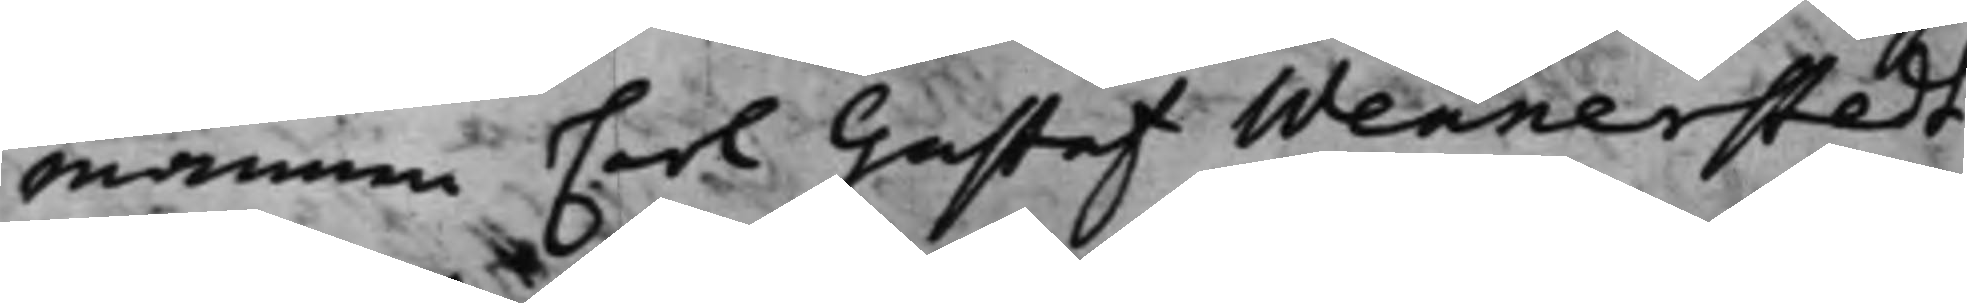mannen Carl Gustaf Wennerstedt
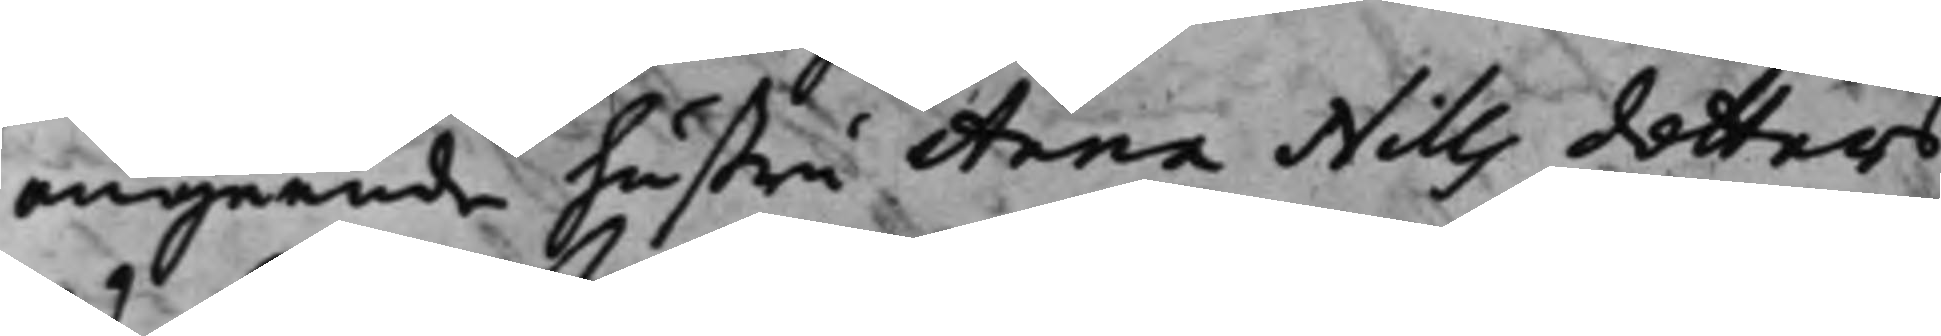angående hustru Anna Nills dotters
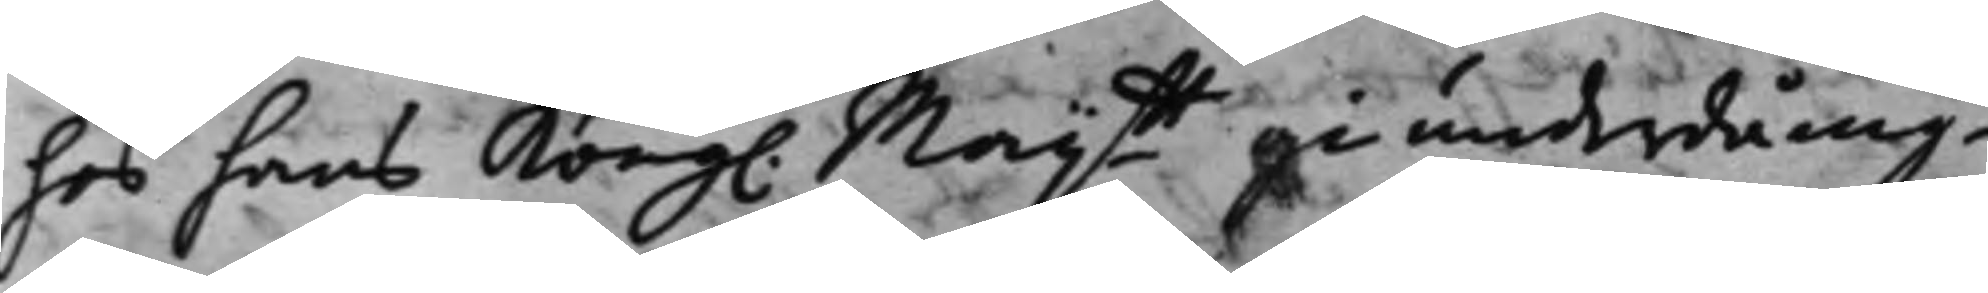hos hans Kong. Maijtt gi underdånig¬
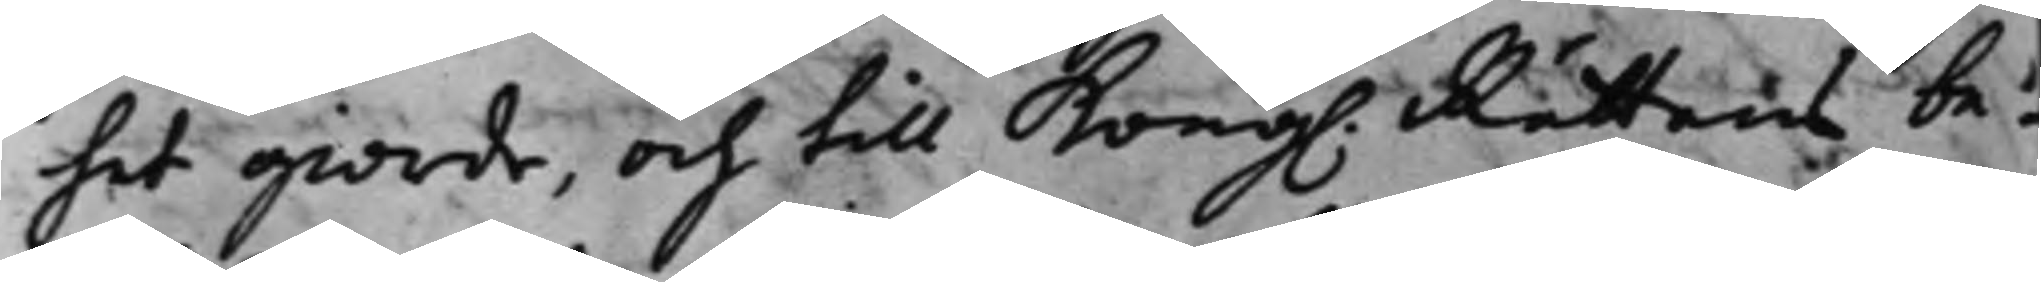het giorde, och till Kong. Rättens be¬
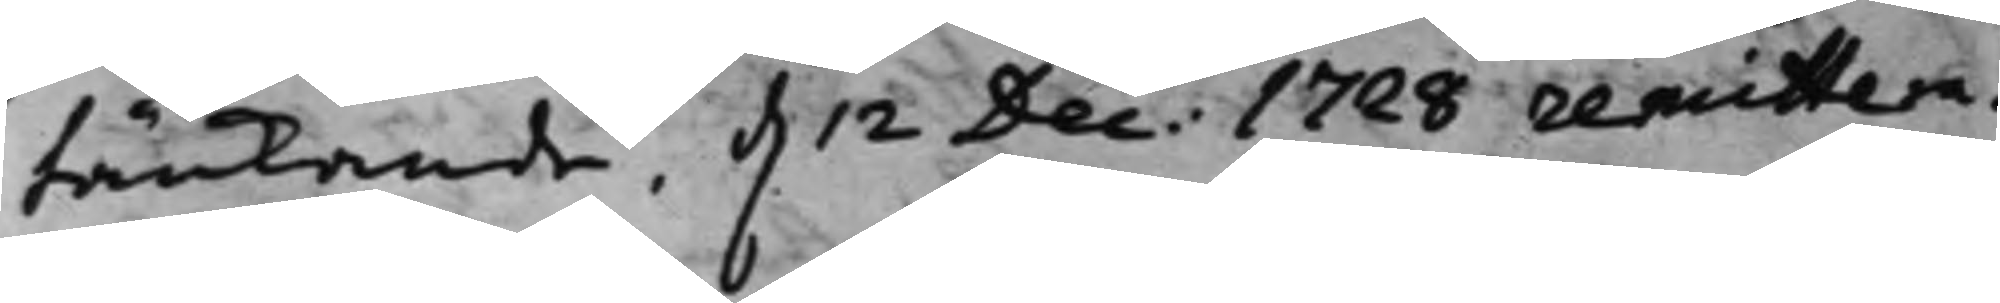tänkande d. 12 Dec: 1728 remittera¬
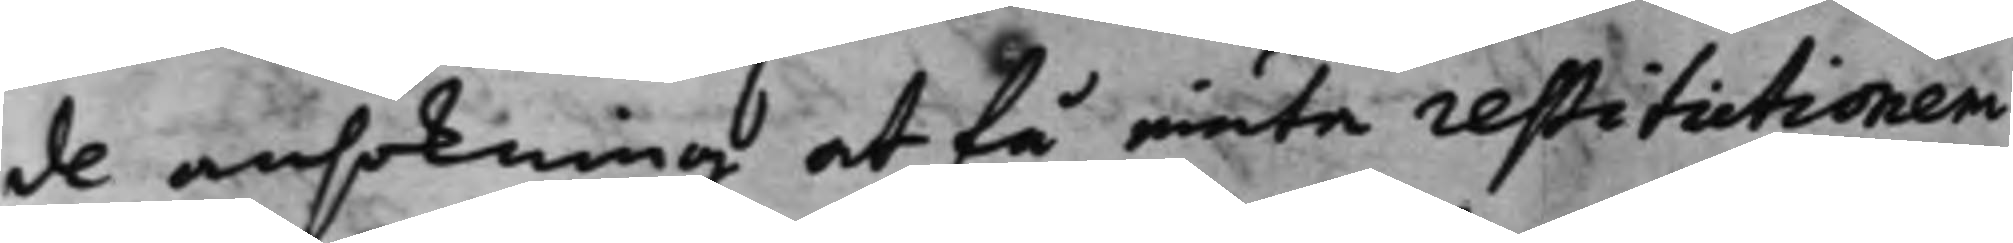de ansökning at få niuta restitutionen
